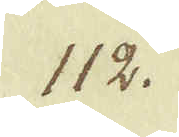112.
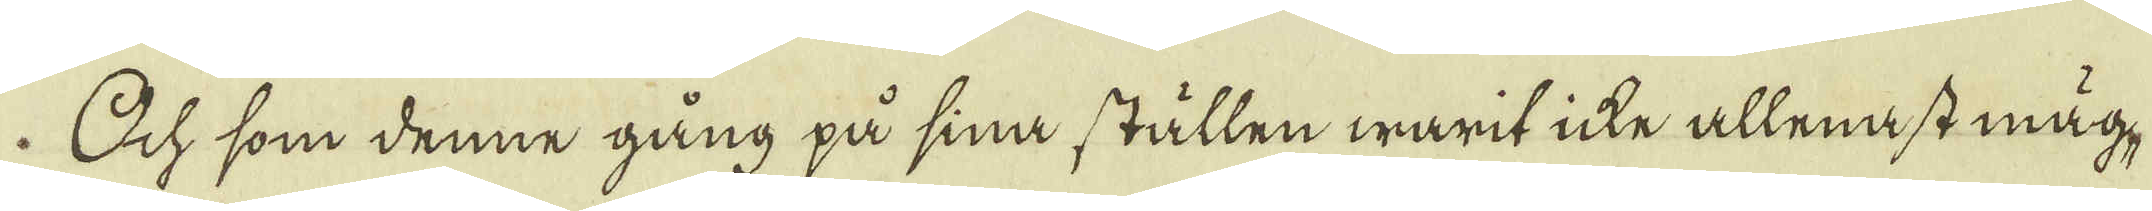Och som denne gång på sina ställen warit icke allenast mäg-
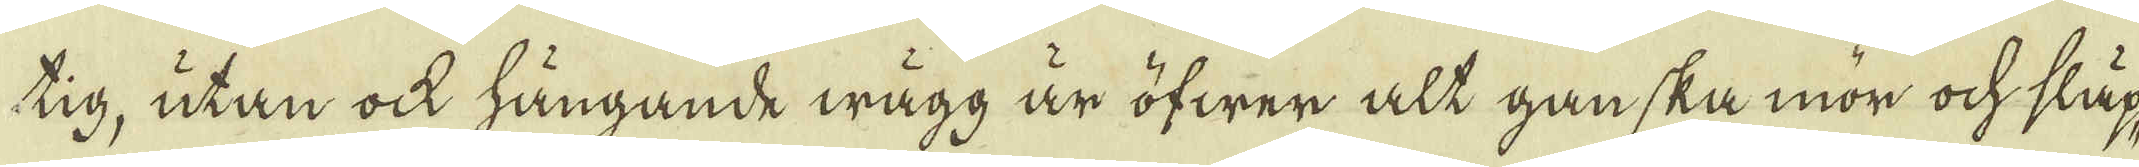tig, utan ock hängande wägg är öfwer alt ganska mör ock släp-
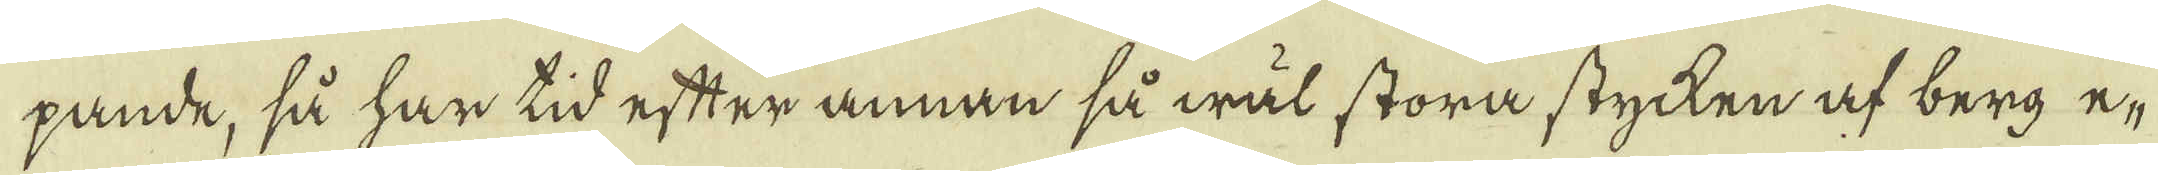pande, så har tid efter annan så wäl stora stycken af berg e-
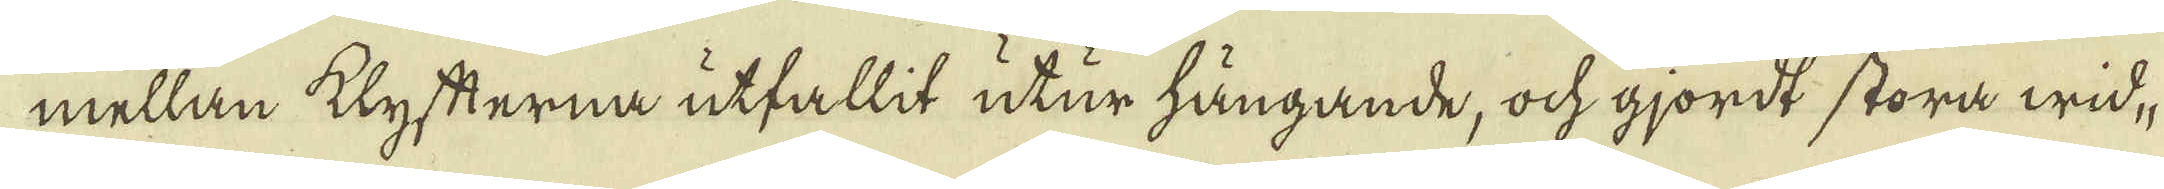mellan klyfterna utfallit utur hängande, ock gjordt stora wid-
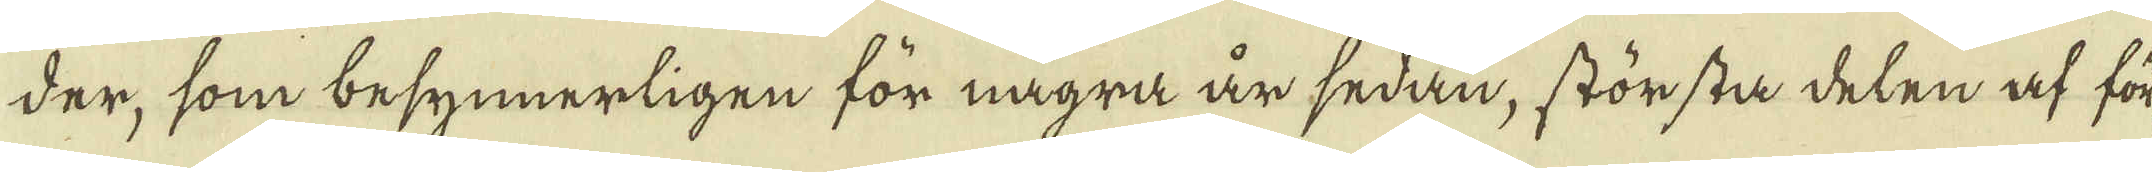der, som besynnerligen för några är sedan, störstå delen af för-
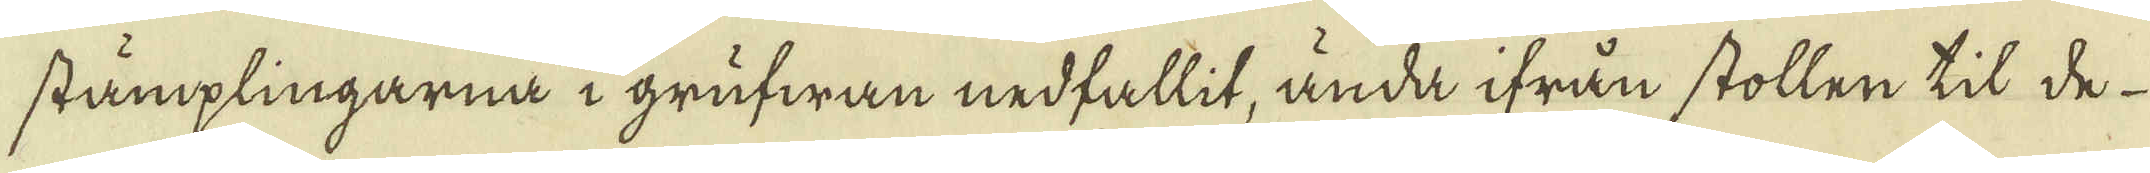stämplingarna i grufwan nedfallit, ända ifrån stollen til de
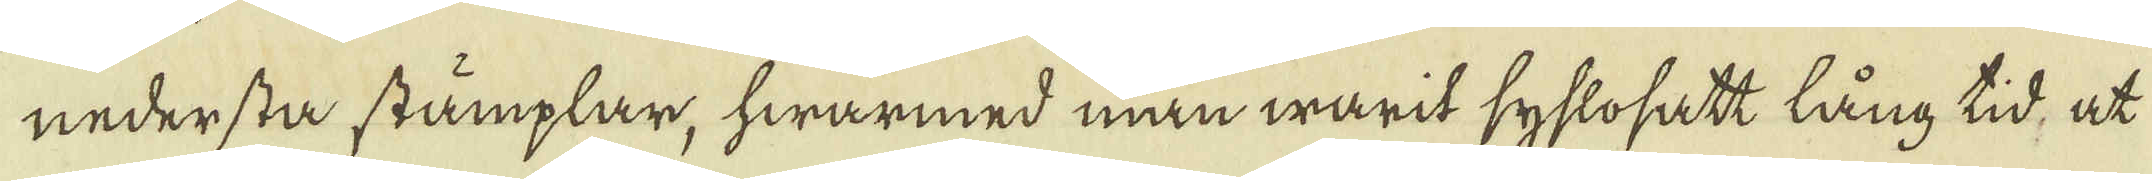nedersta stämplar, hwarmed man warit syslosatt lång tid, at
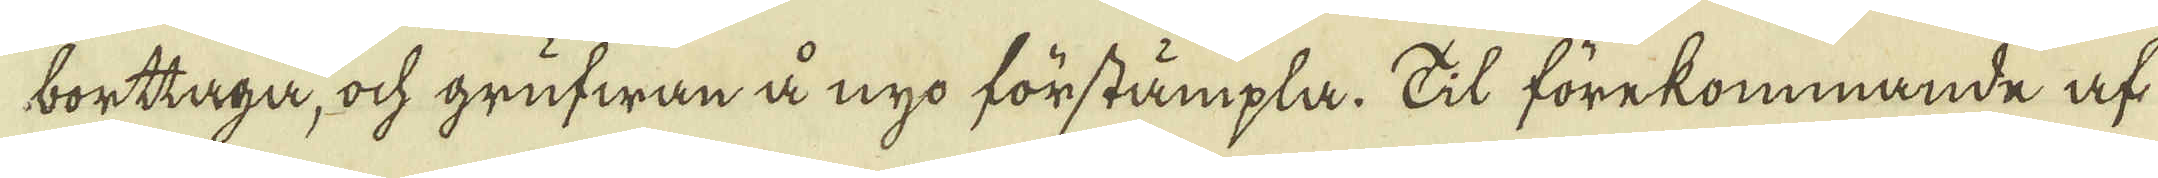borttaga, ock grufwan å nyo förstämpla. Til förekommande af
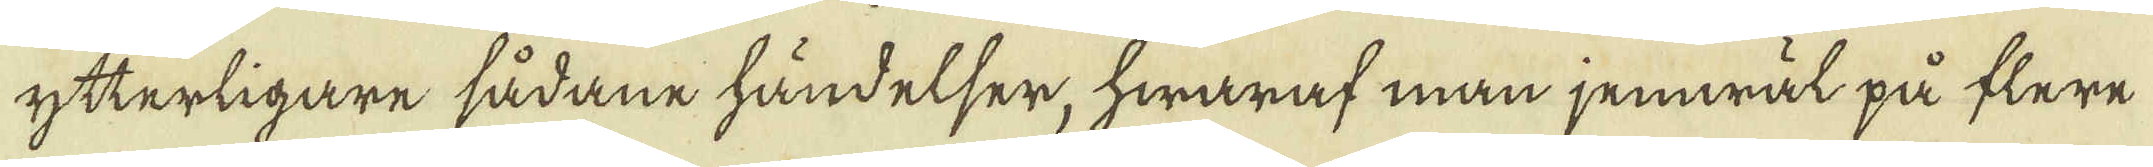ytterligare sådane händelser, hwaraf man jemwäl på flere
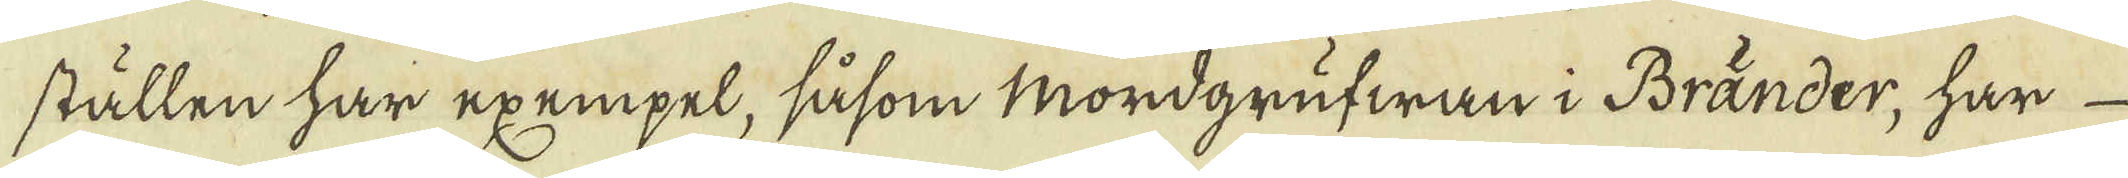ställen har exempel, såsom Mordgrufwan i Bränder, har
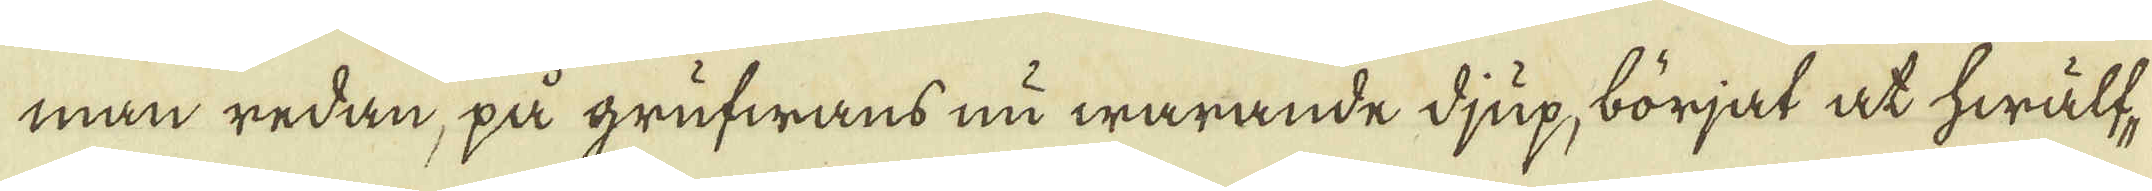man redan, på grufwans nu warande djup, börjat at hwälf-
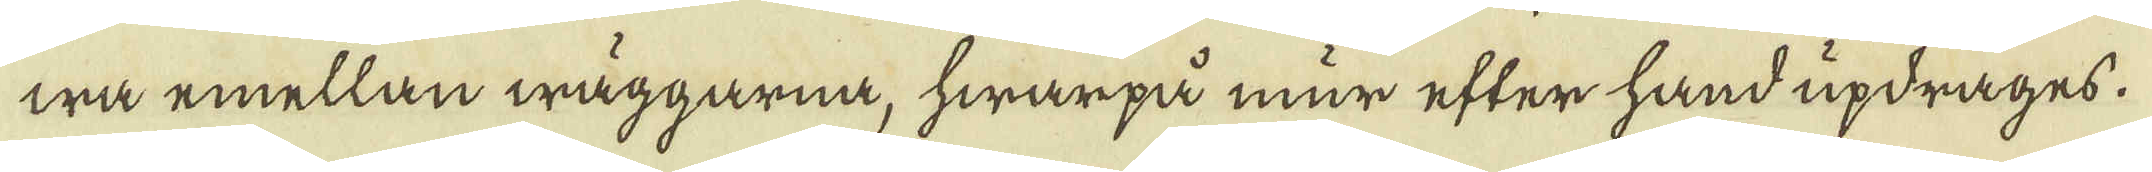wa emellan wäggarna, hwarpå mur efter hand updrages.
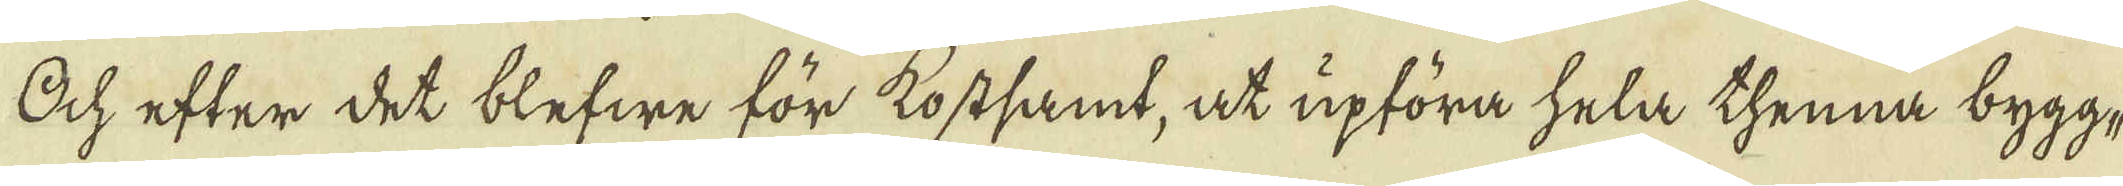Och efter det blefwe för kostsamt, at upföra hela thenna bygg-
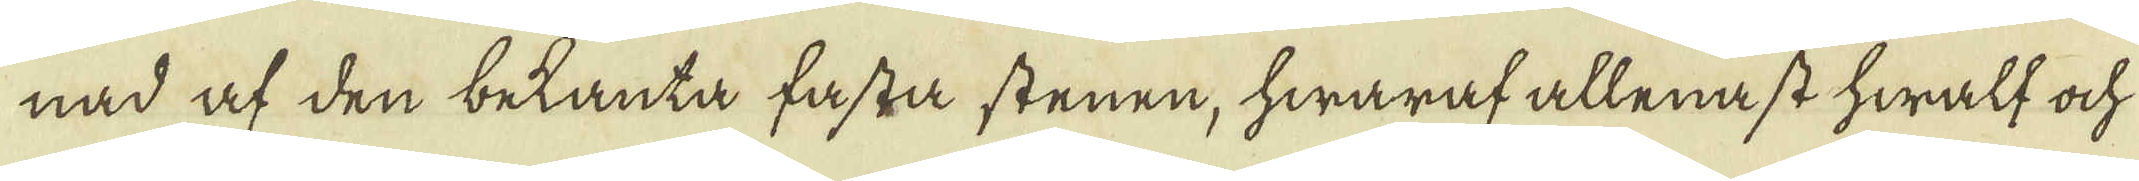nad af den betanta fasta stenen, hwaraf allenast hwalf och
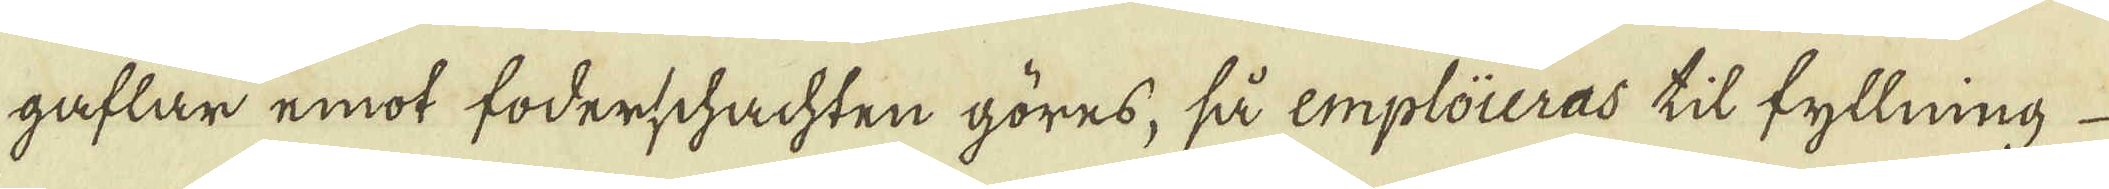gaflar emot foderschachten göres, så emploieras til fyllning
